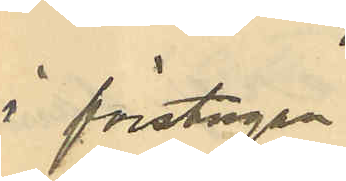i förstugen
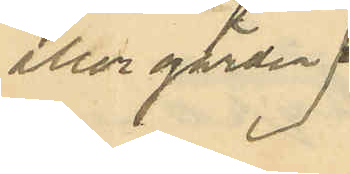eller gården,
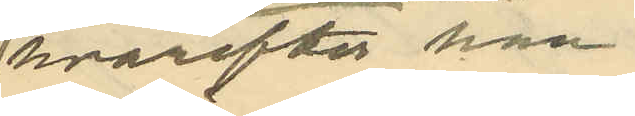hvarefter han
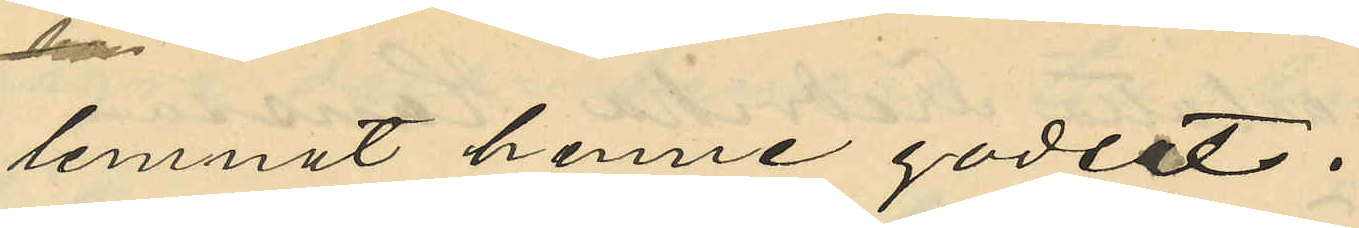lemnat henne godset.
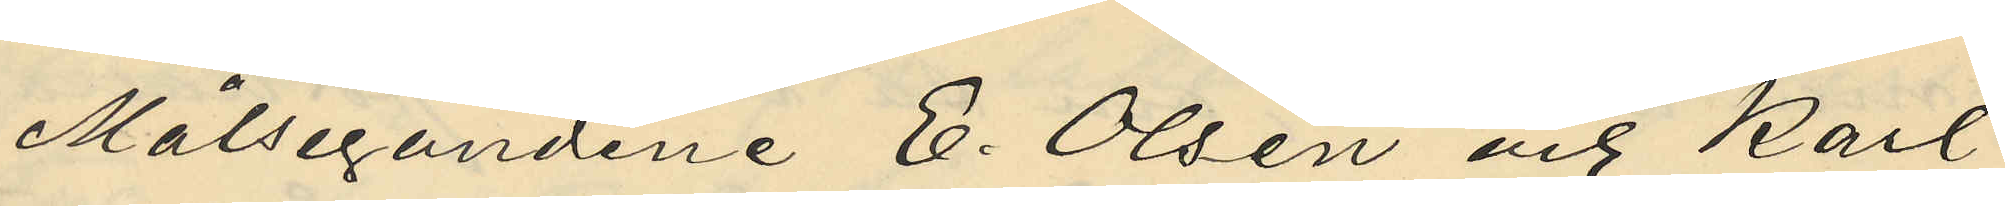Målsegandene E. Olsen och Karl
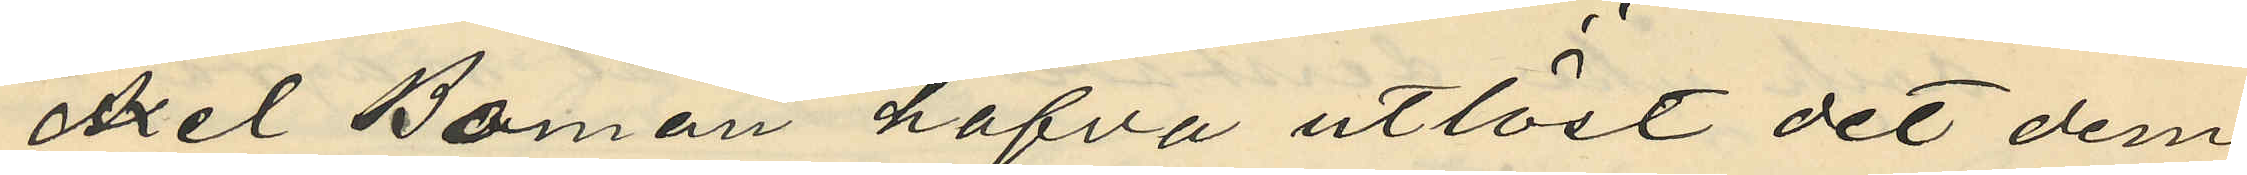Axel Boman hafva utlöst det dem
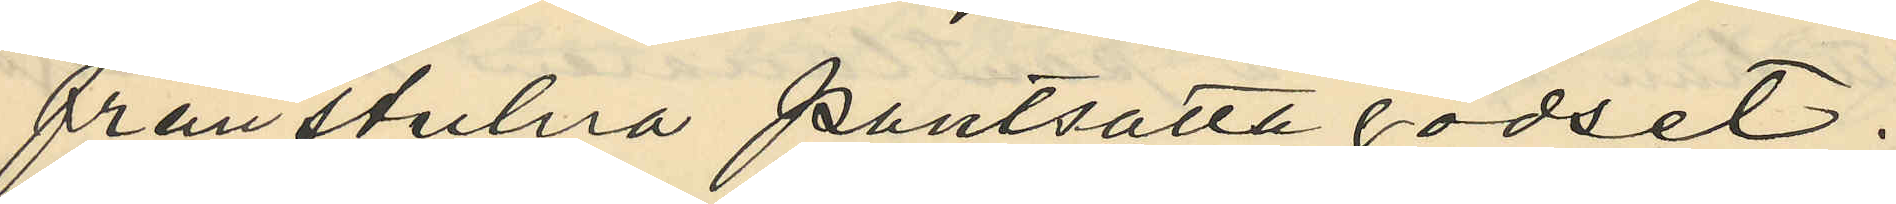frånstulna pantsätta godset.
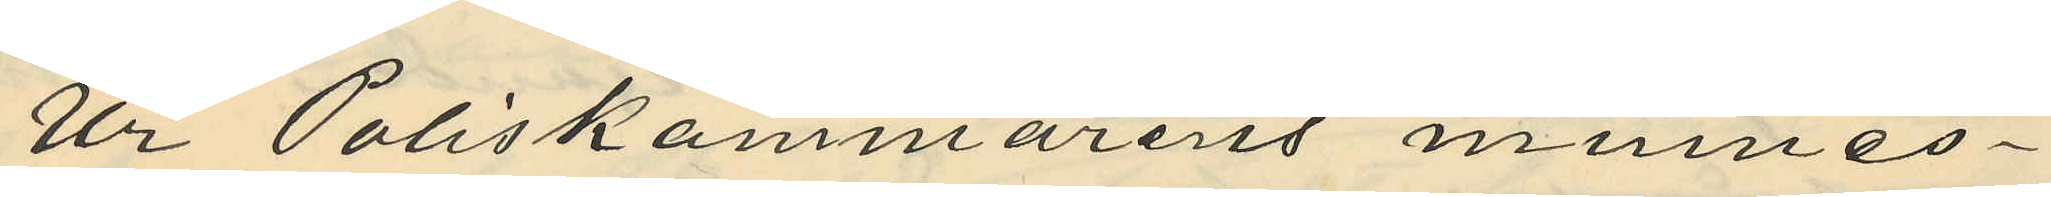Ur Poliskammarens minnes¬
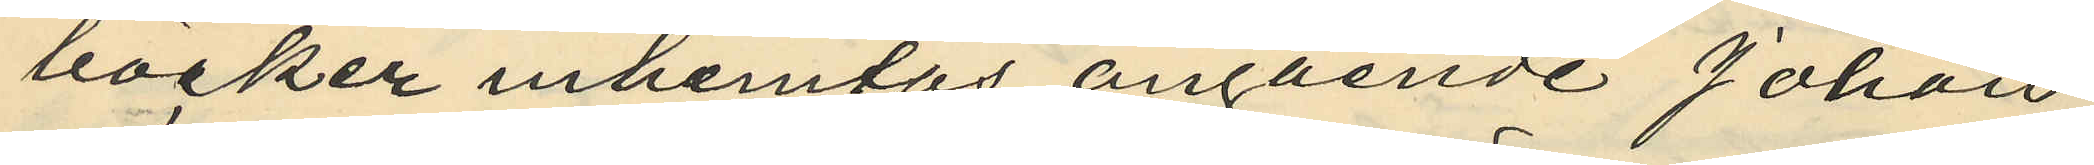böcker inhemtas angående Johan
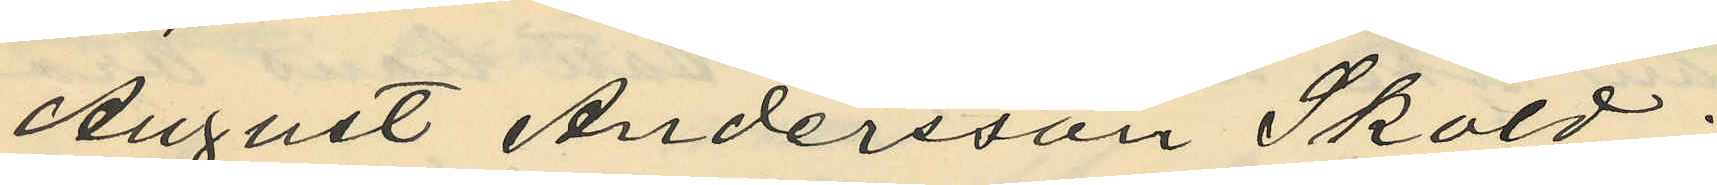August Andersson Sköld:
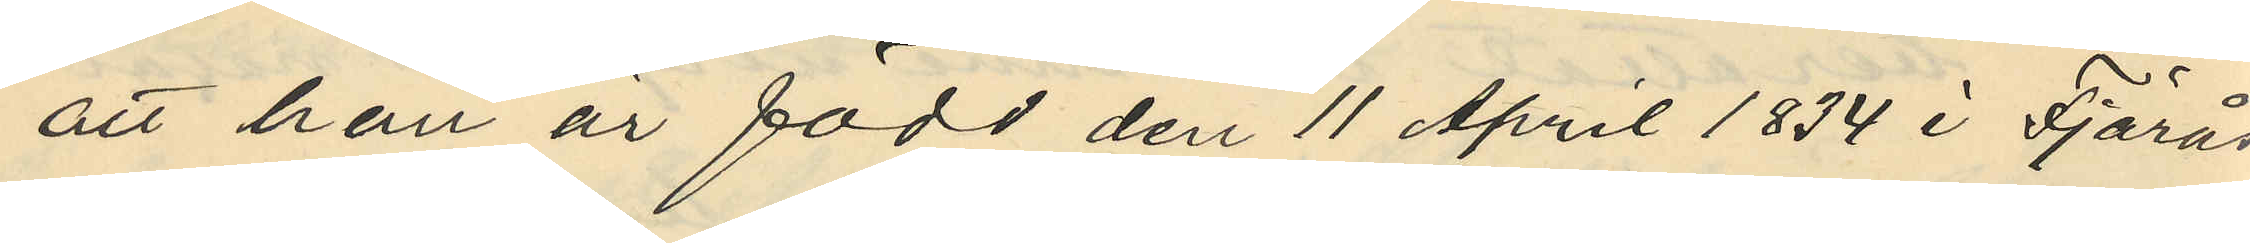att han är född den 11 April 1834 i Fjärås
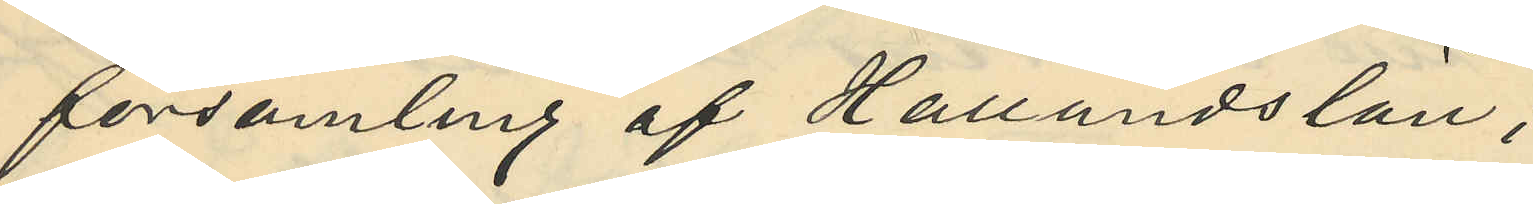församling af Hallandslän;
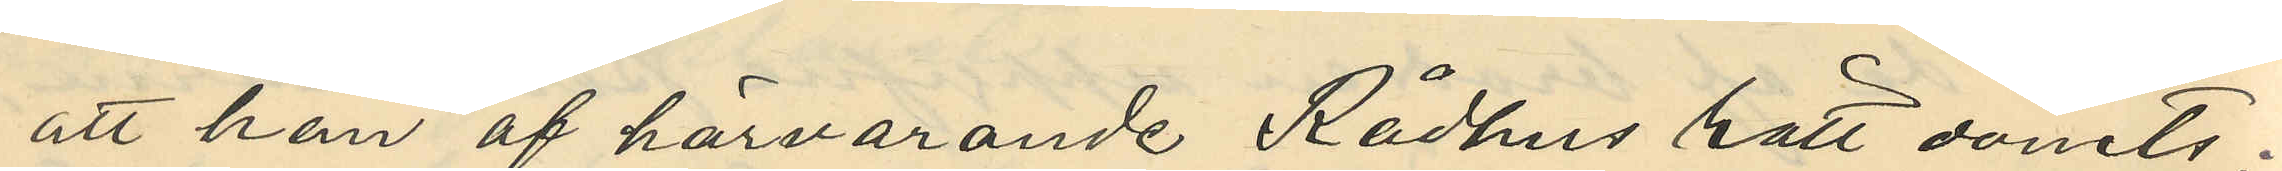att han af härvarande Rådhus rätt dömts:
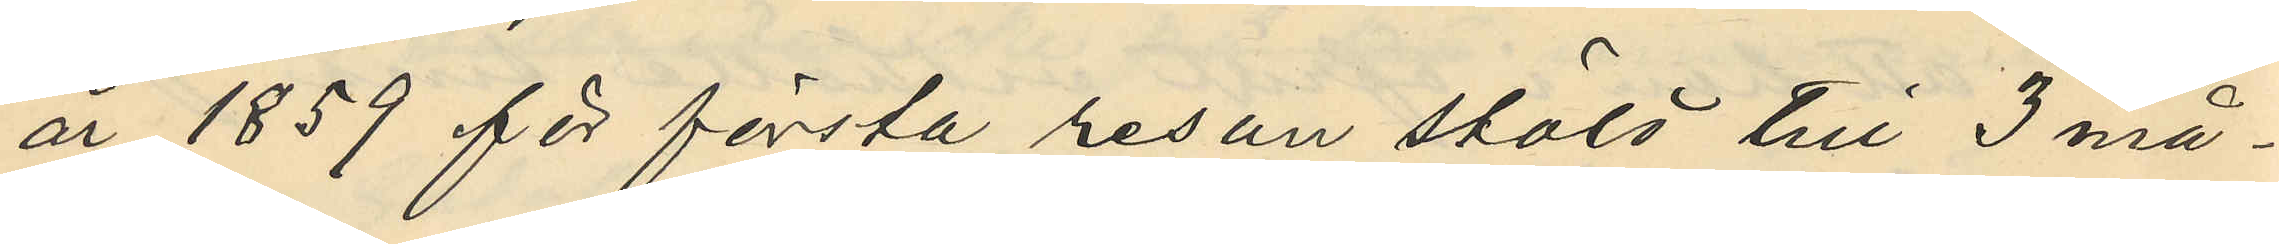år 1859 för första resan stöld till 3 må¬
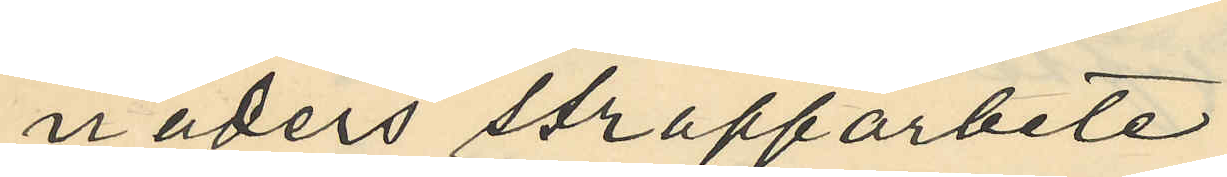naders straffarbete;
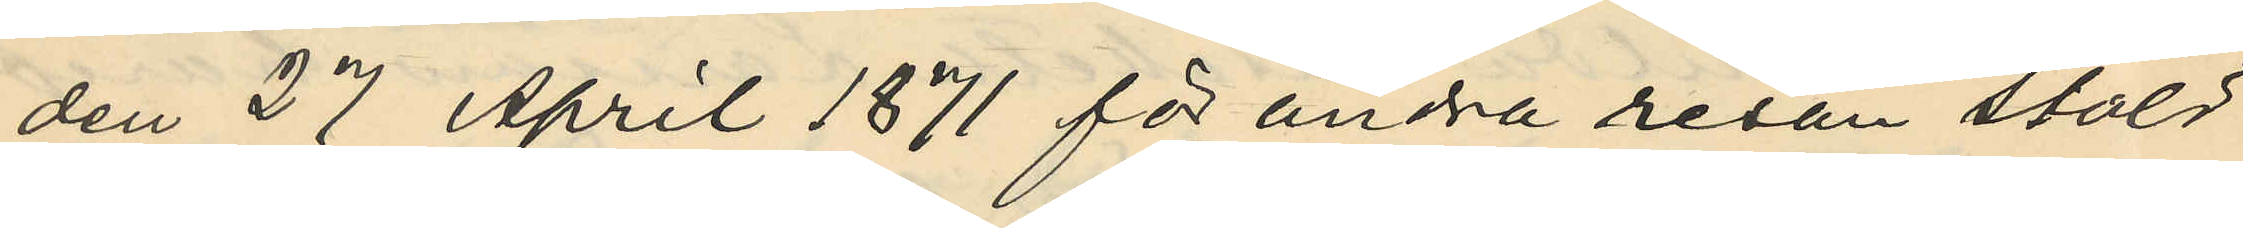den 27 April 1871 för andra resan stöld
